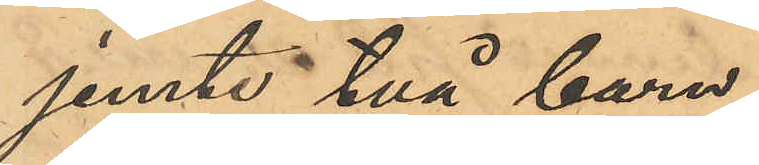jemte två barn,
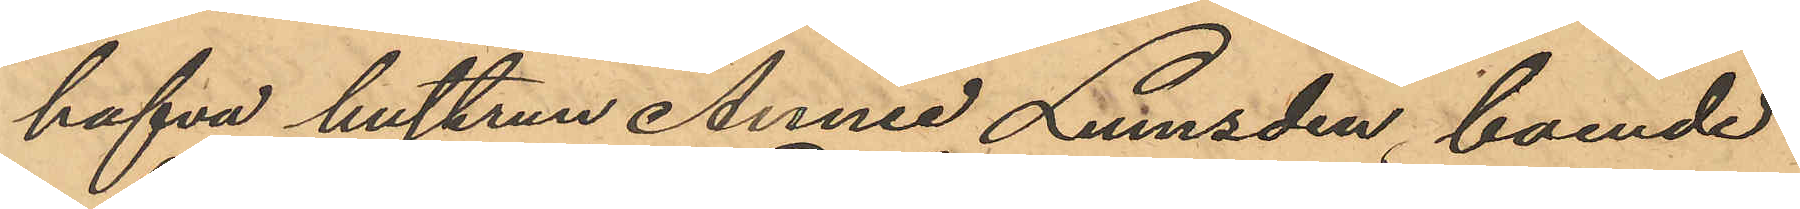hafva hustrun Annie Lumsden, boende
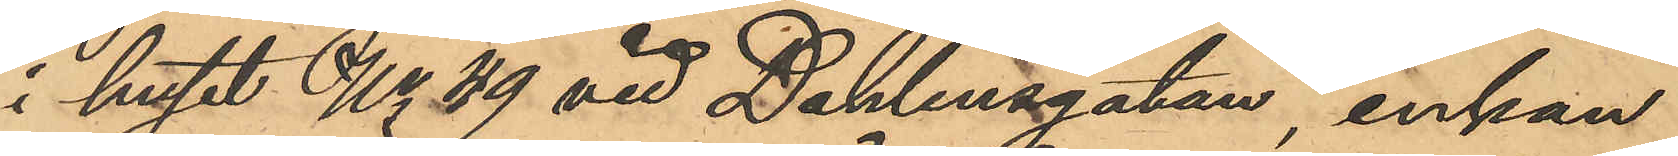i huset No 49 vid Dahlinsgatan, enkan
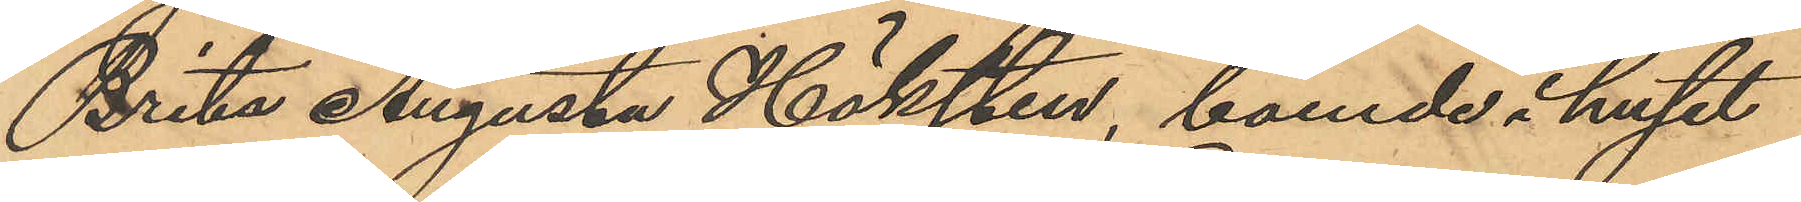Brita Augusta Höksten, boende i huset
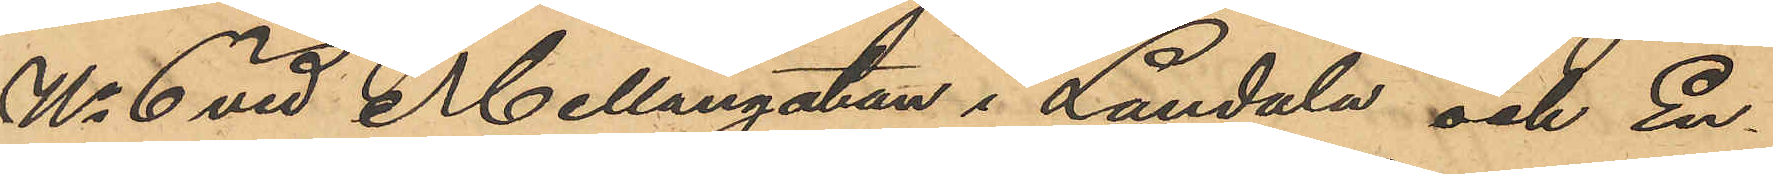No 6 vid Mellangatan i Landala och En¬
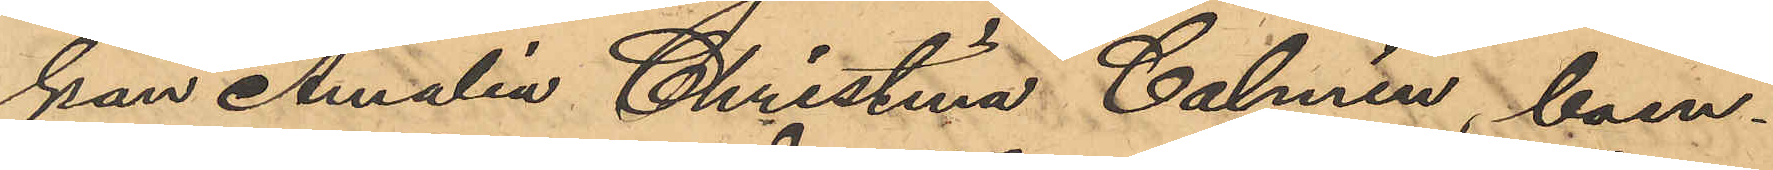kan Amalia Christina Calmén, boen¬
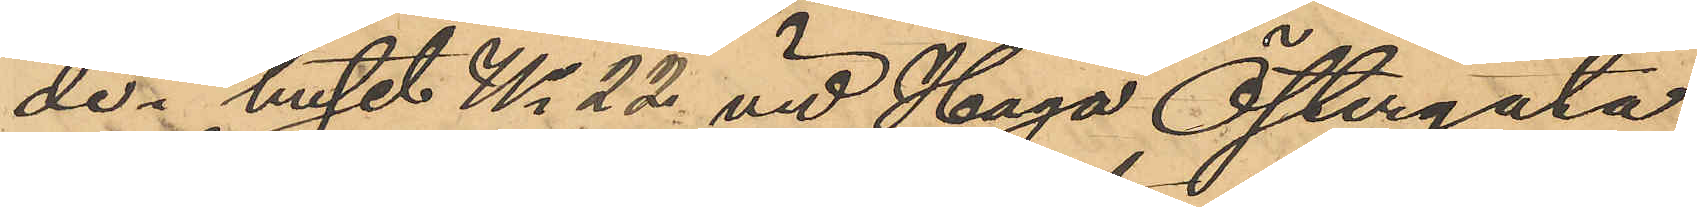de i huset No 22 vid Haga Östergata,
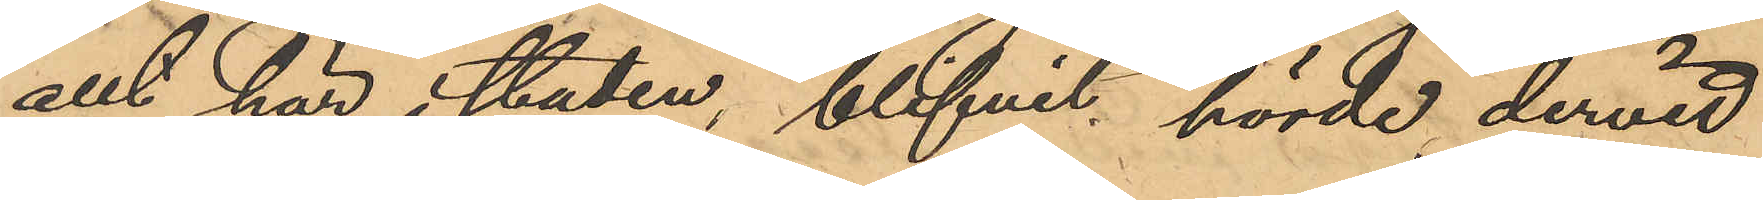allt här i staden, blifvit hörde, dervid
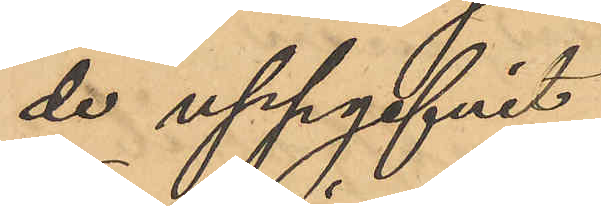de uppgifvit:
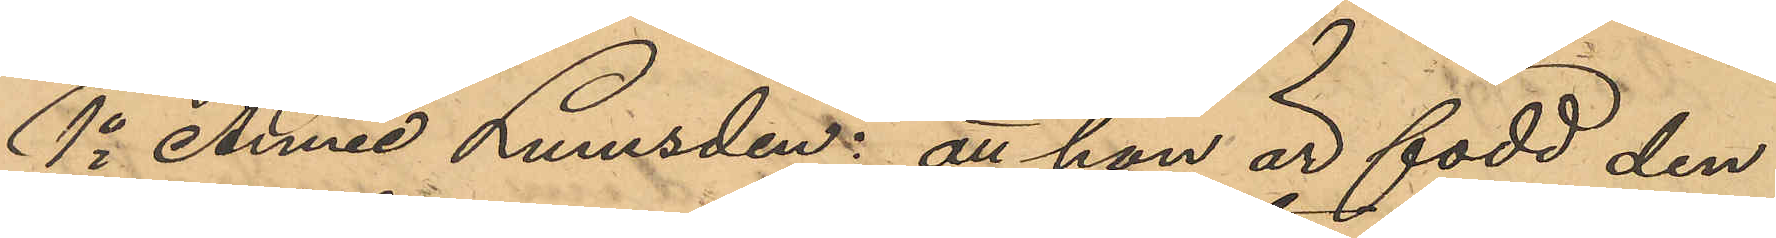1o Annie Lumsden: att hon är född den
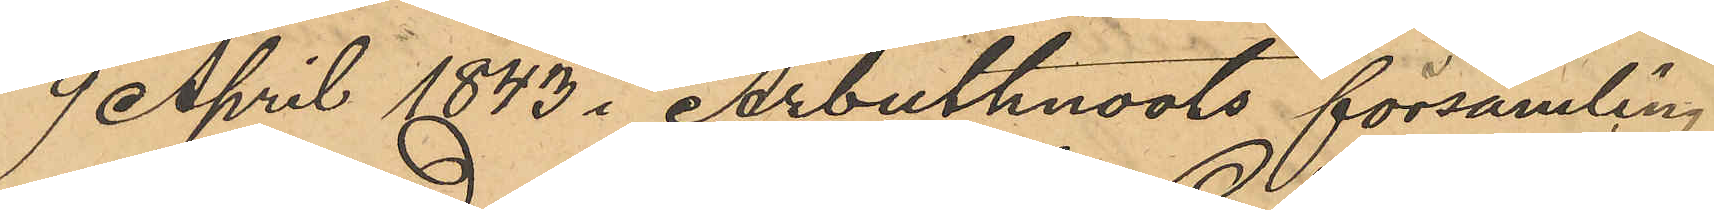9 April 1843 i Arbuthnoots församling
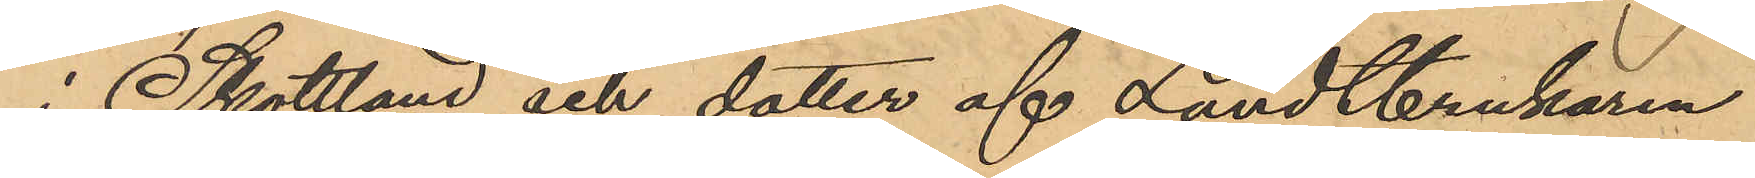i Skottland och dotter af Landtbrukaren
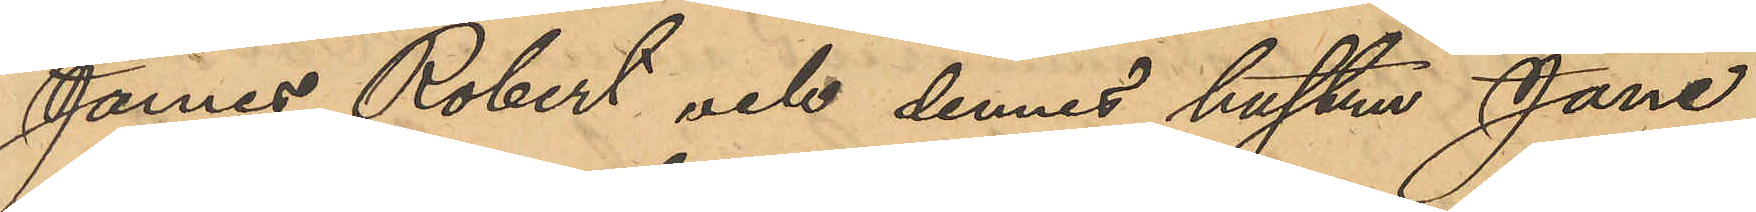James Robert och dennes hustru Jane
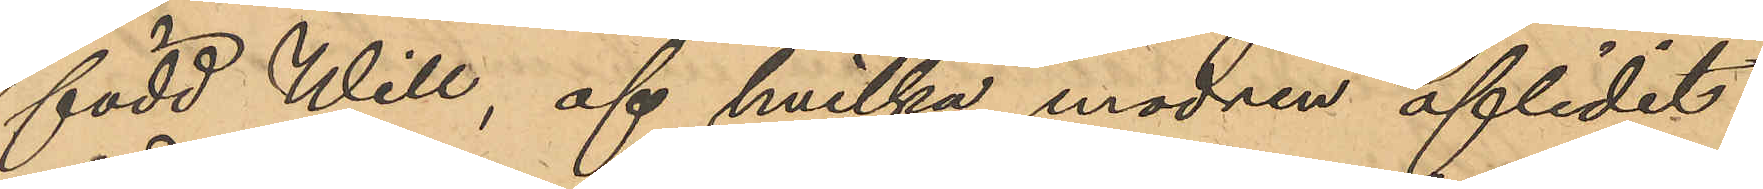född Will, af hvilka modren aflidit
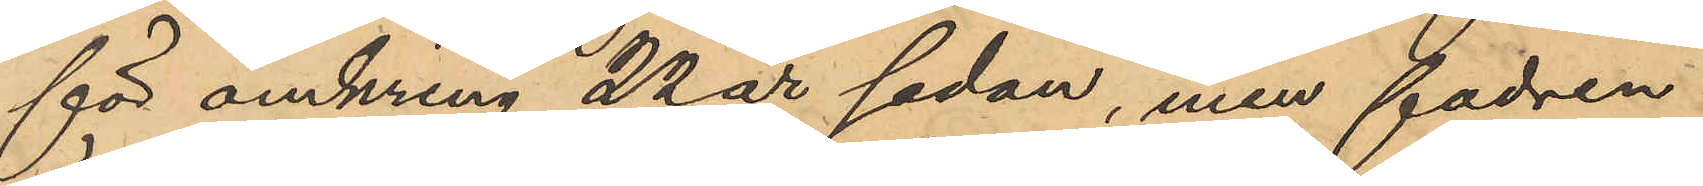för omkring 22 år sedan, men fadren
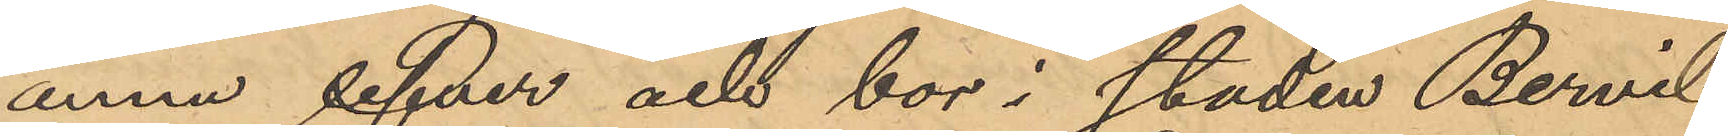ännu lefver och bor i staden Bervil
